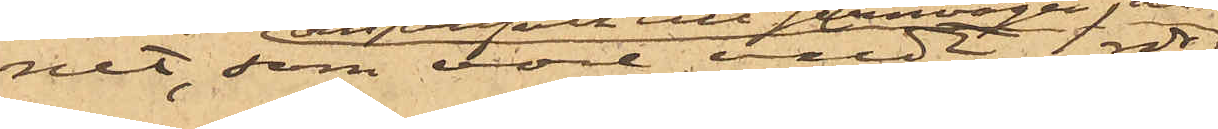net, som vore värdt 1 rdr,
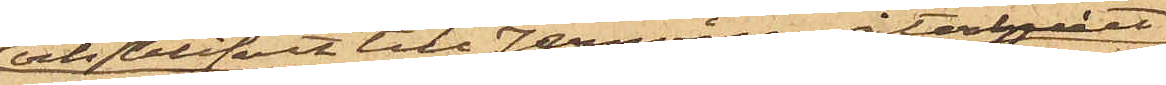och blifvit till Jernvågen återlemnat
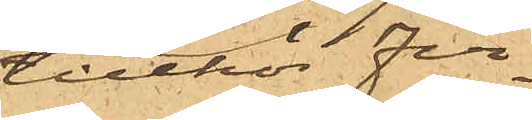tillhör fir¬
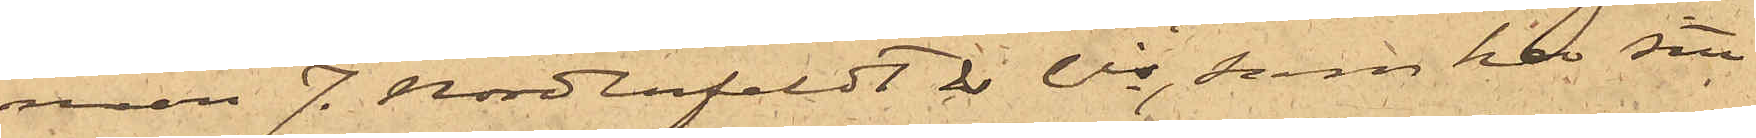man J. Nordenfeldt & Cie, som har sitt
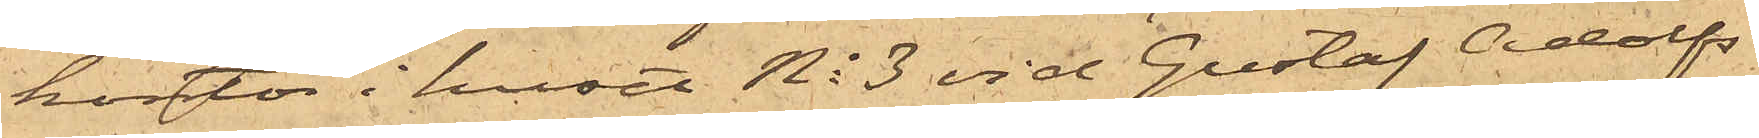kontor i huset No 3 vid Gustaf Adolfs
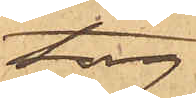torg.
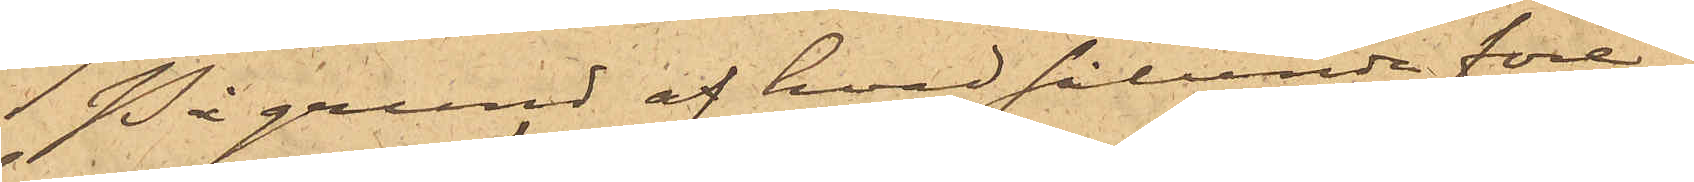På grund af hvad sålunda före¬
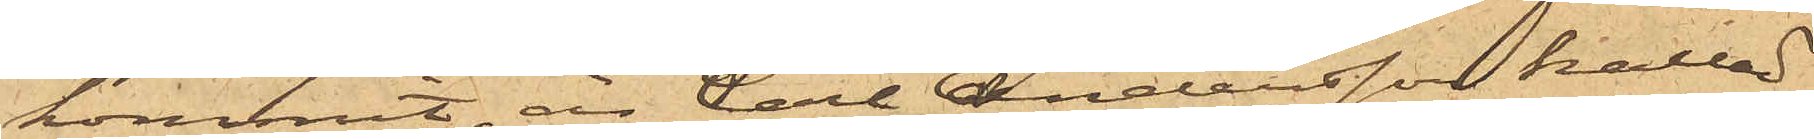kommit, är Carl Andersson kallad
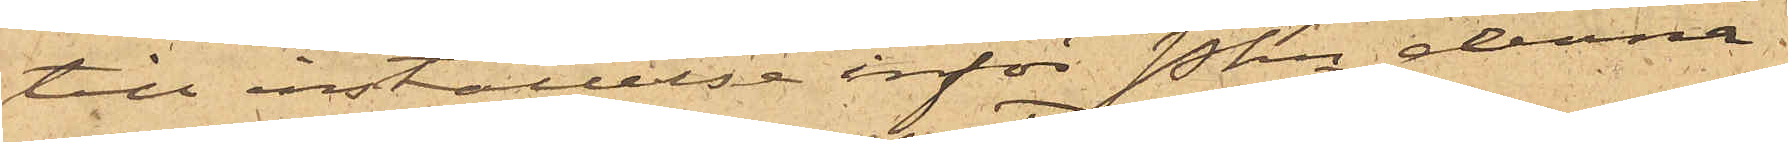till inställelse inför Pkn denna
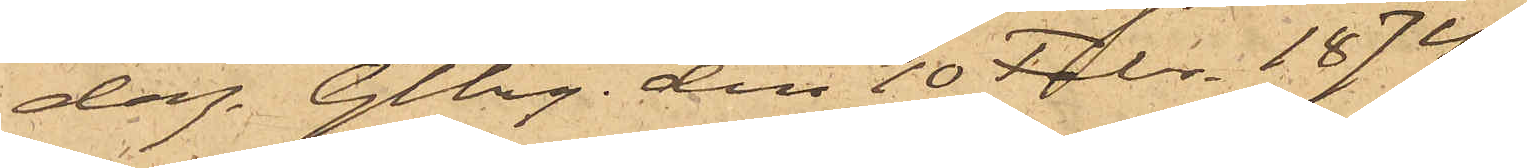dag. Gtbg den 10 Febr. 1874.
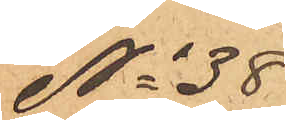No 38
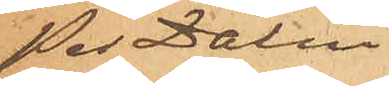Per Dalin
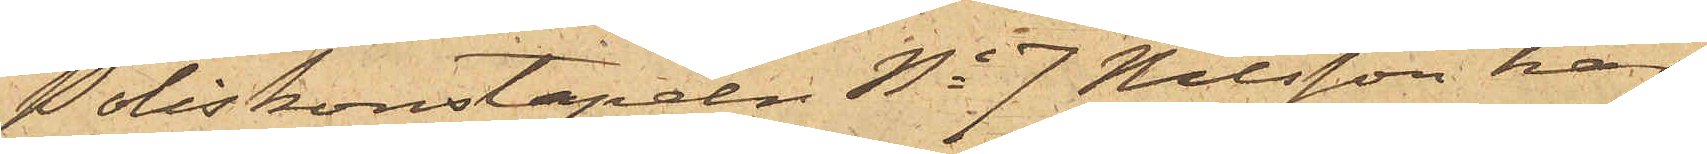Poliskonstapeln No 7 Nilsson har
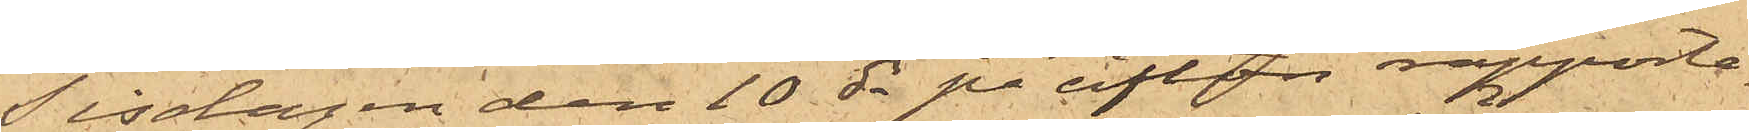Tisdagen den 10 ds på afton rapporte¬
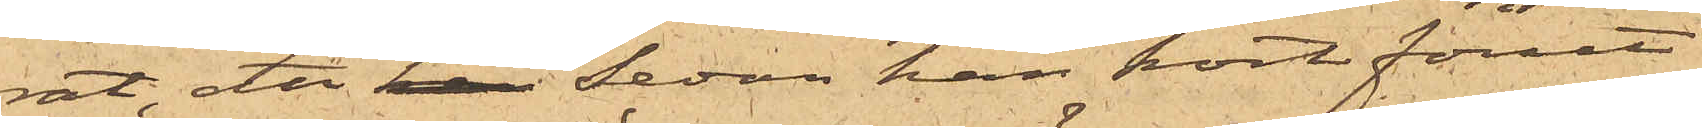rat, att han sedan han kort förut
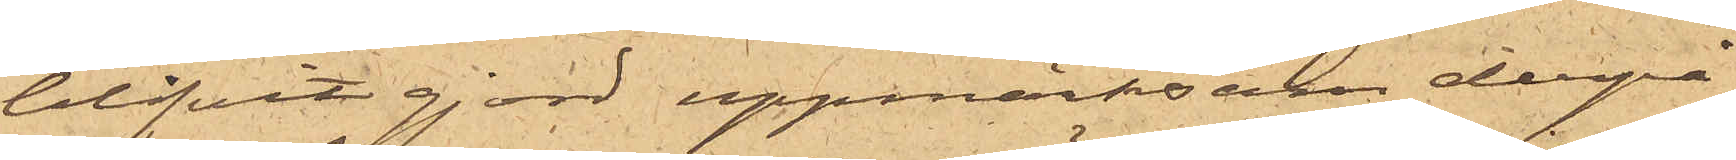blifvit gjord uppmärksam derpå
